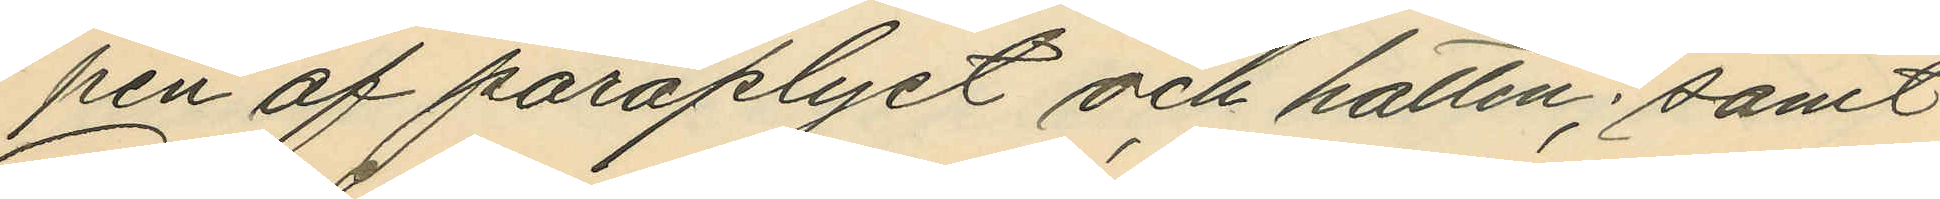pen af paraplyet och hatten; samt
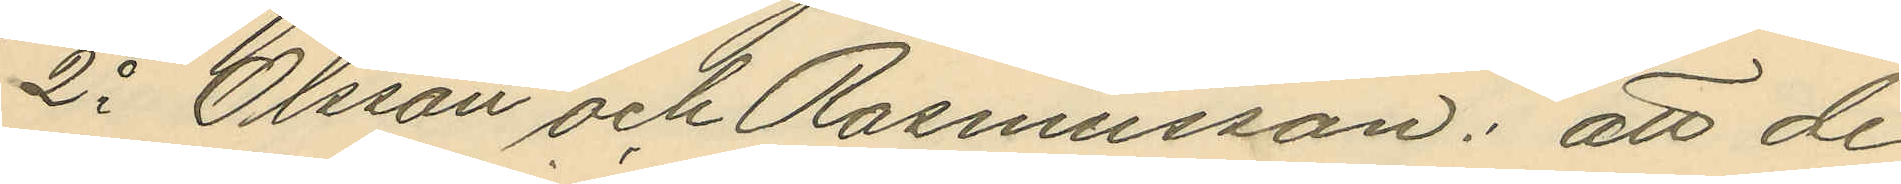2o Olsson och Rasmusson: att de
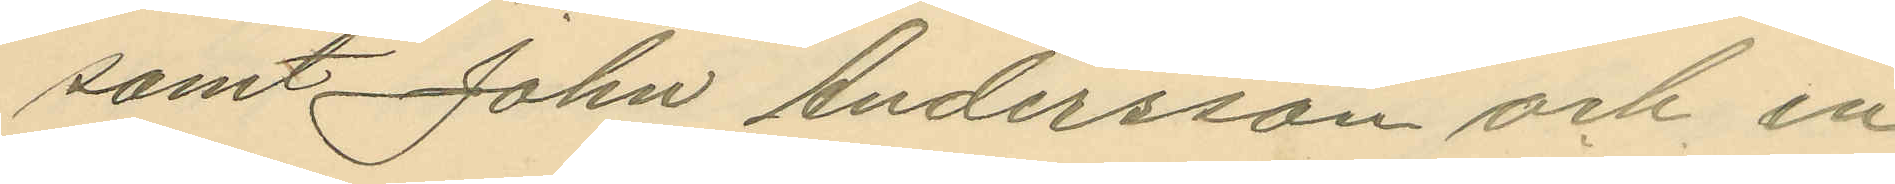samt John Andersson och en
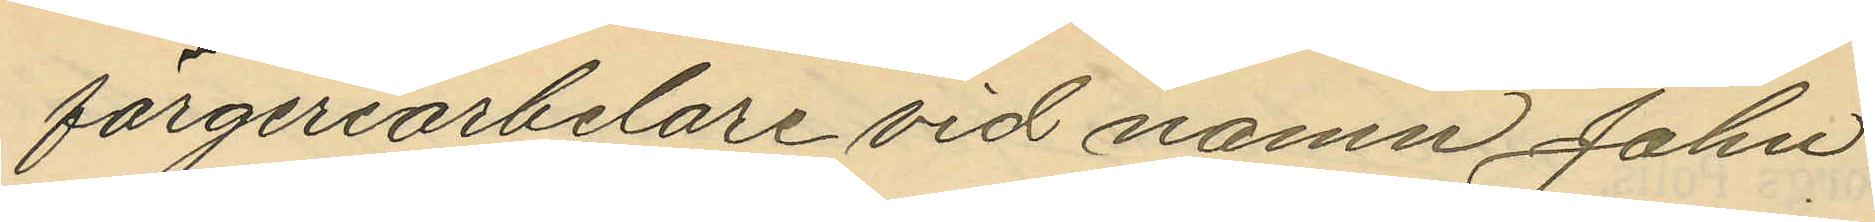färgeriarbelare vid namn John
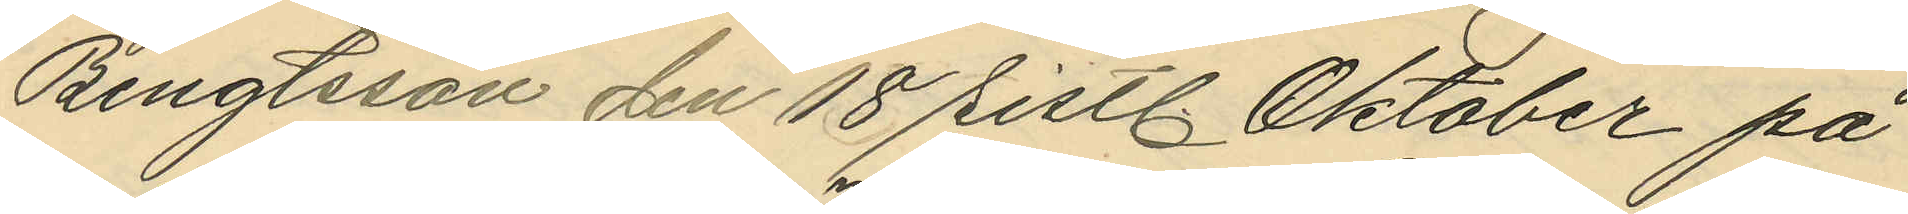Bengtsson den 18 sistl. Oktober på
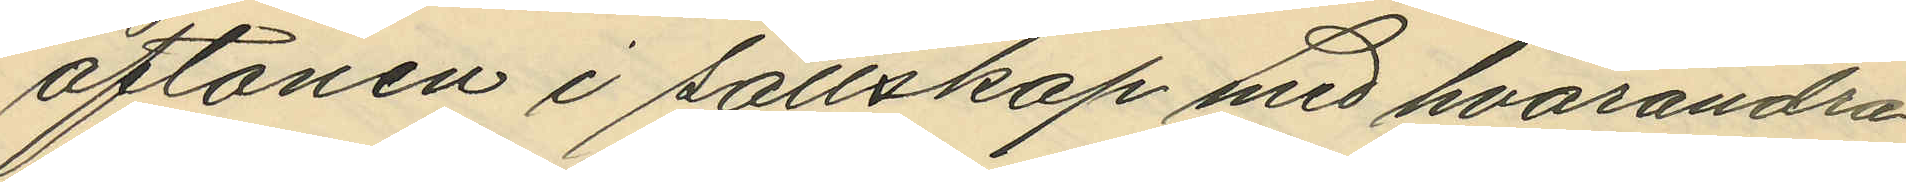aftonen i sällskap med hvarandra
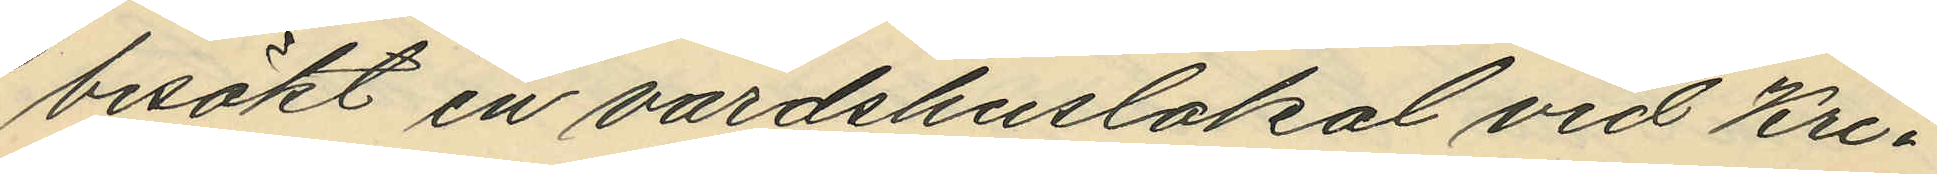besökt en värdshuslokal vid Kri¬
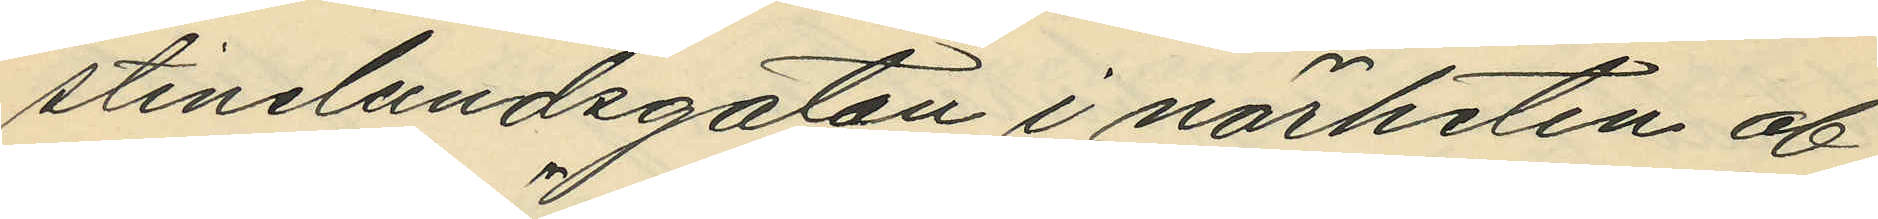stinelundsgatan i närheten af
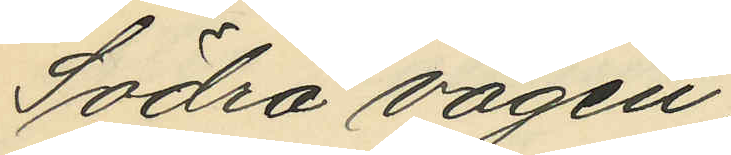Södra vägen;
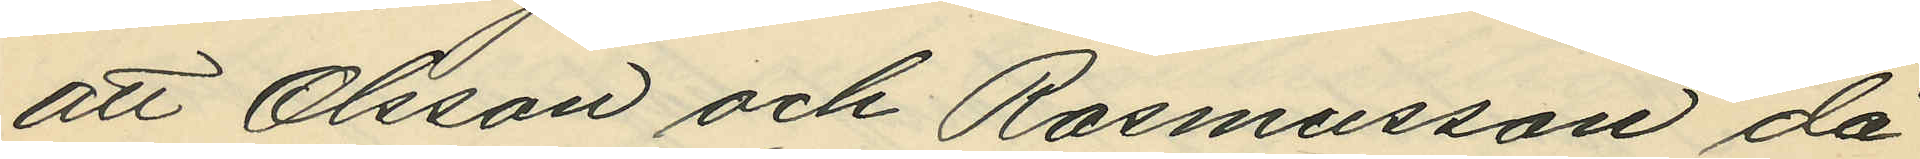att Olsson och Rasmusson då
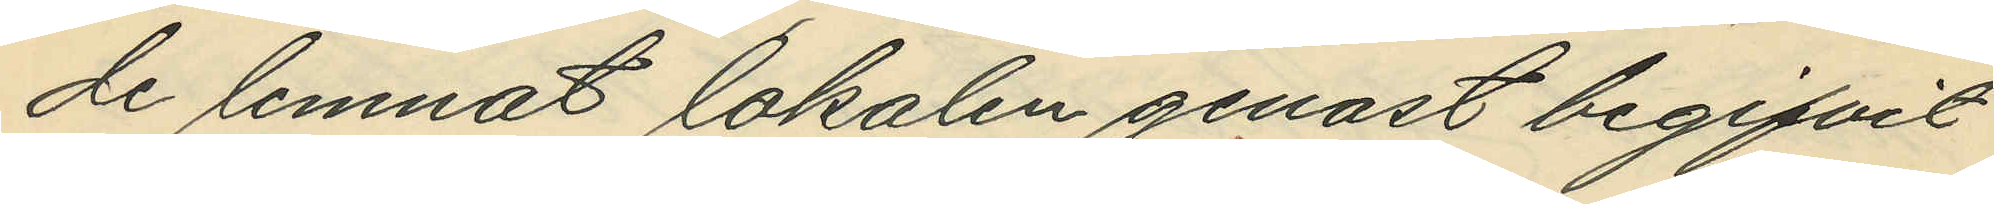de lemnat lokalen genast begifvit
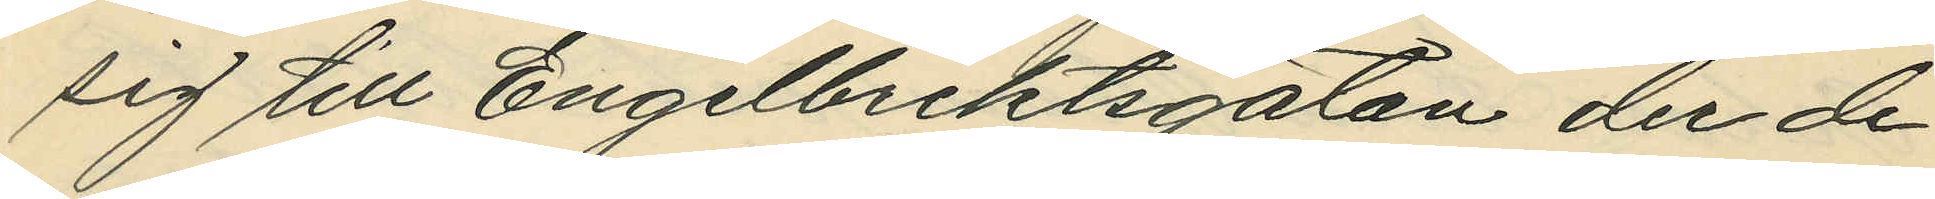sig till Engelbrektsgatan der de
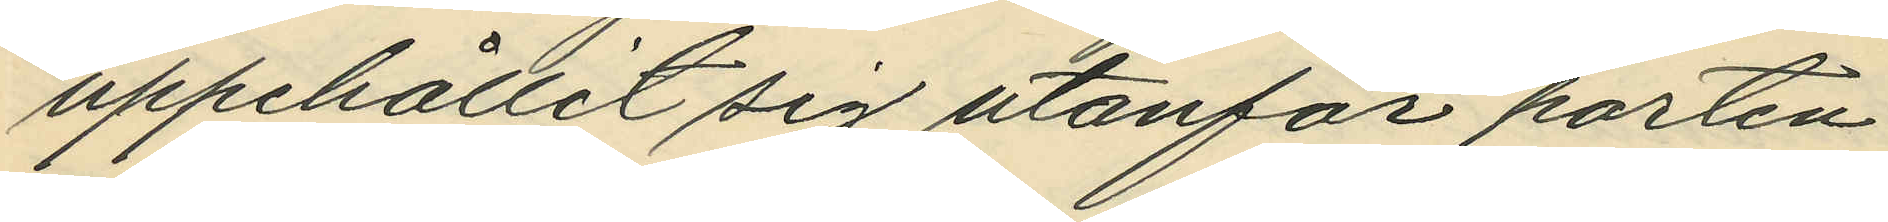uppehållit sig utanför porten
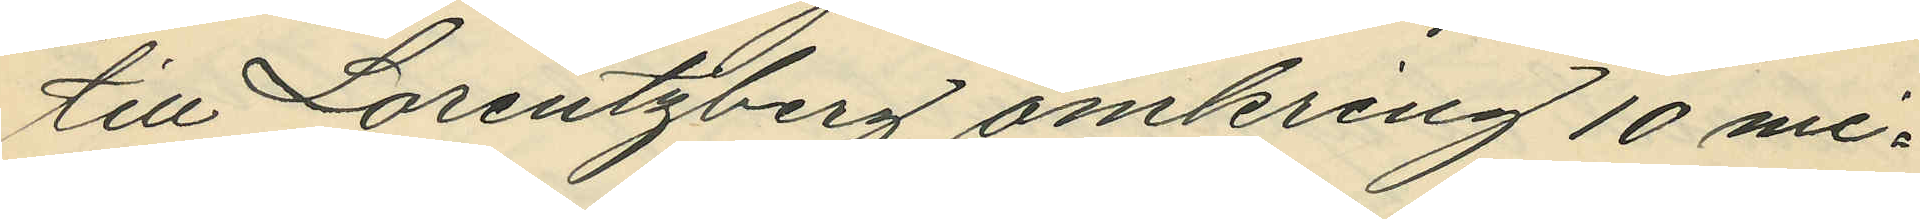till Lorentzberg omkring 10 mi¬
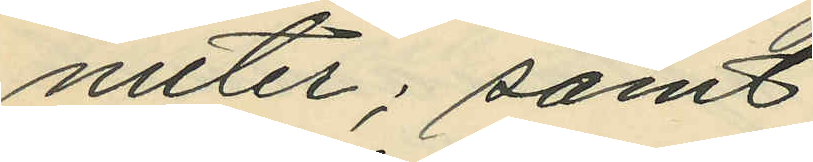nuter; samt
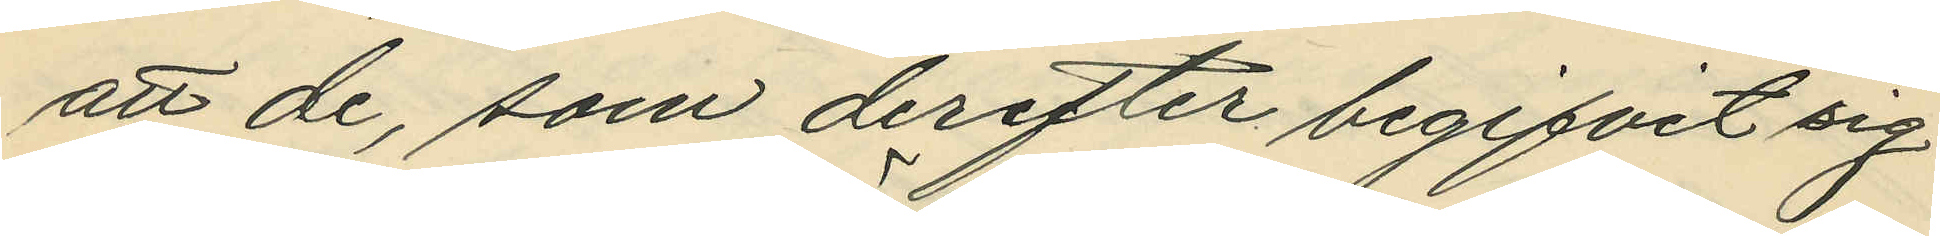att de, som derefter begifvit sig
